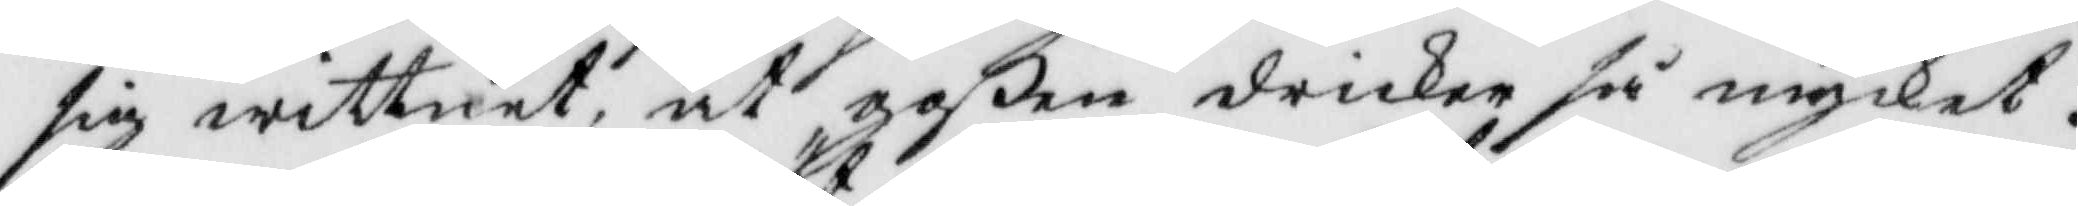sig wittnet, at goßen dricker så mycket.
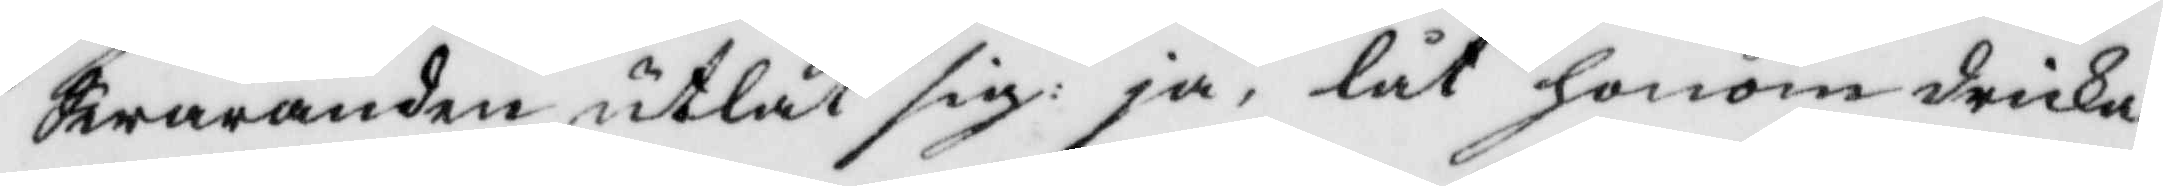Swaranden utlät sig: ja, låt honom dricka
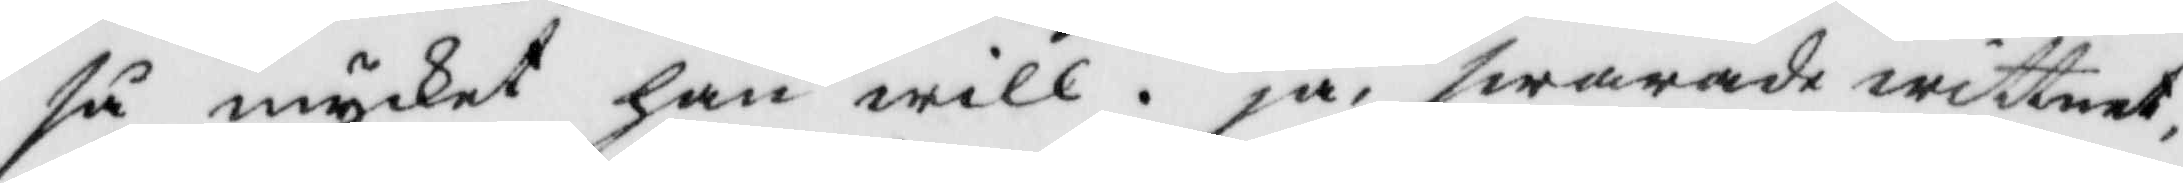så mycket han will. ja, swarade wittnet,
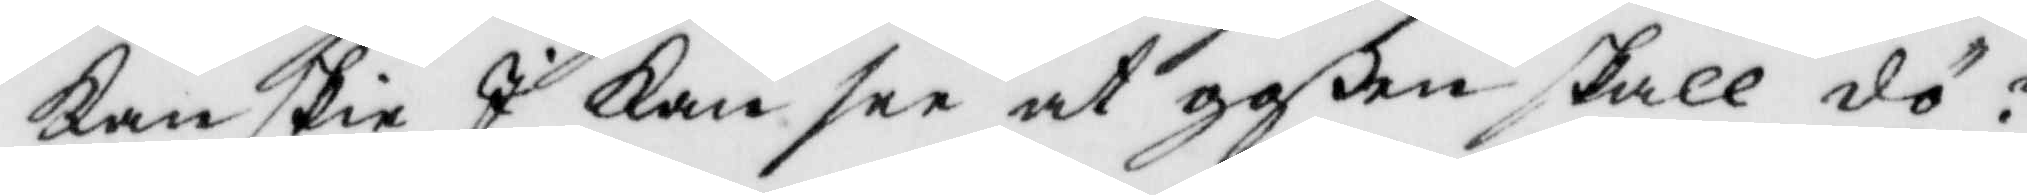kanskie I kan see at goßen skall dö?
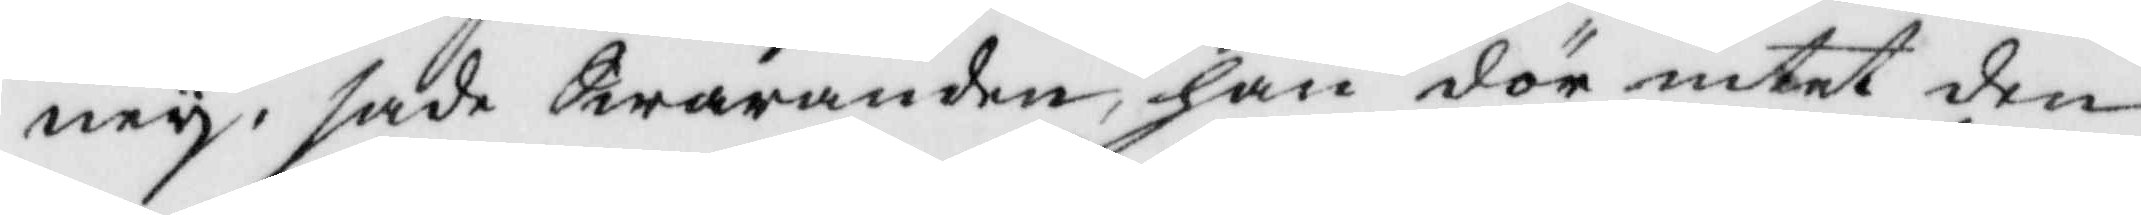bey, sade Swaranden, han dör intet den¬
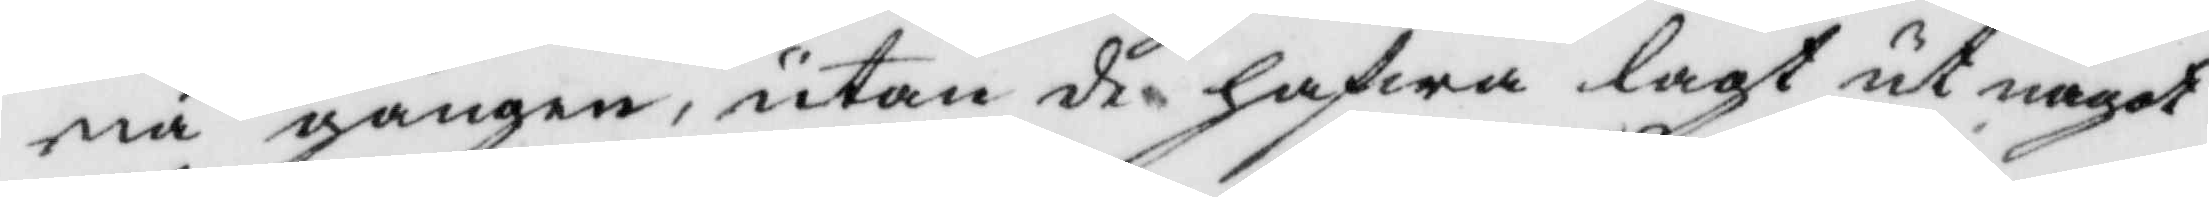na gången, utan de hafwa lagt ut något
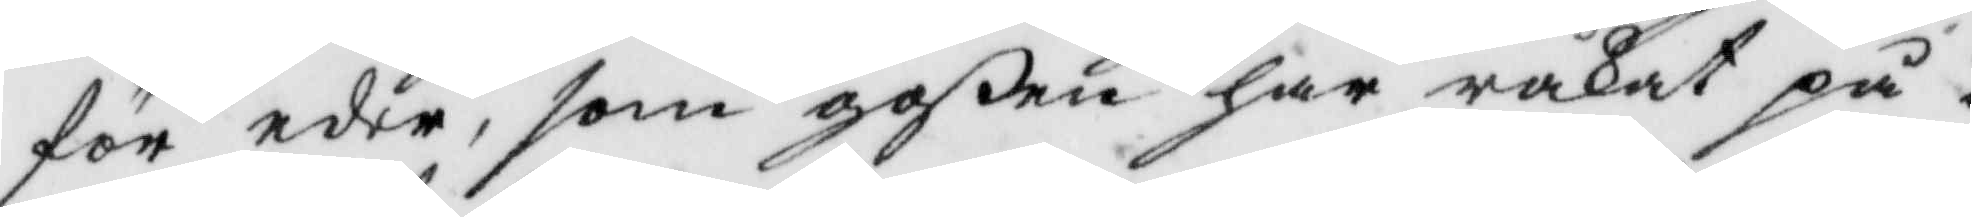för eder, som goßen har råkat på.
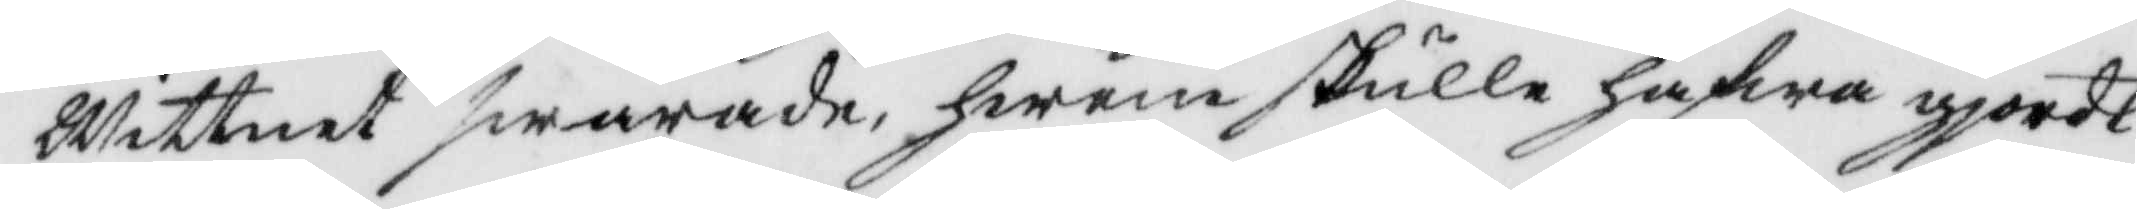Wittnet swarade hwem skulle hafwa gjordt
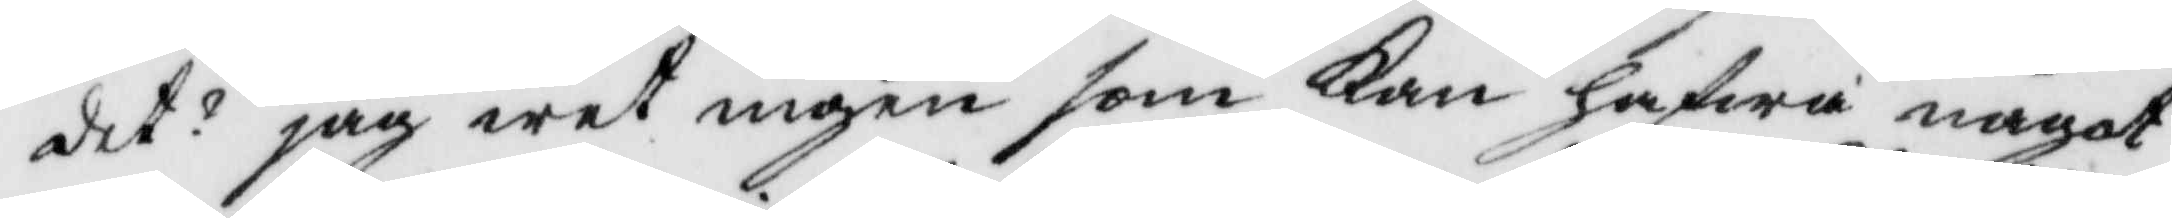det? jag wet ingen som kan hafwa något
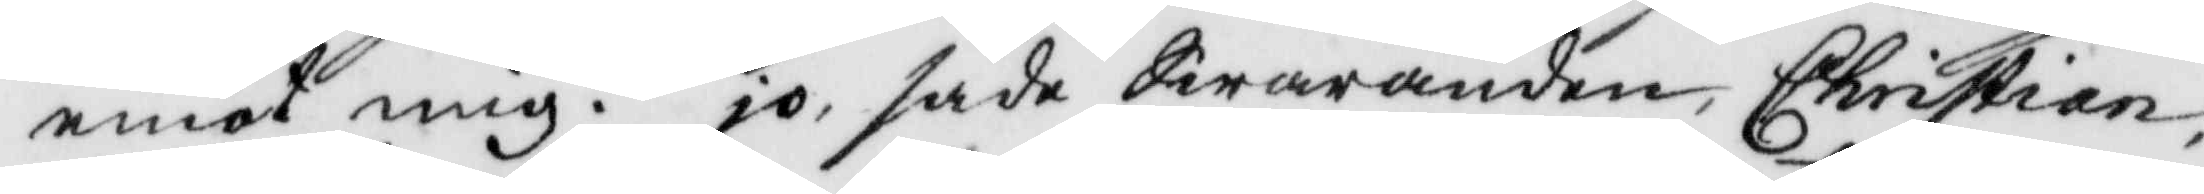emot mig. jo, sade Swaranden, Christian,
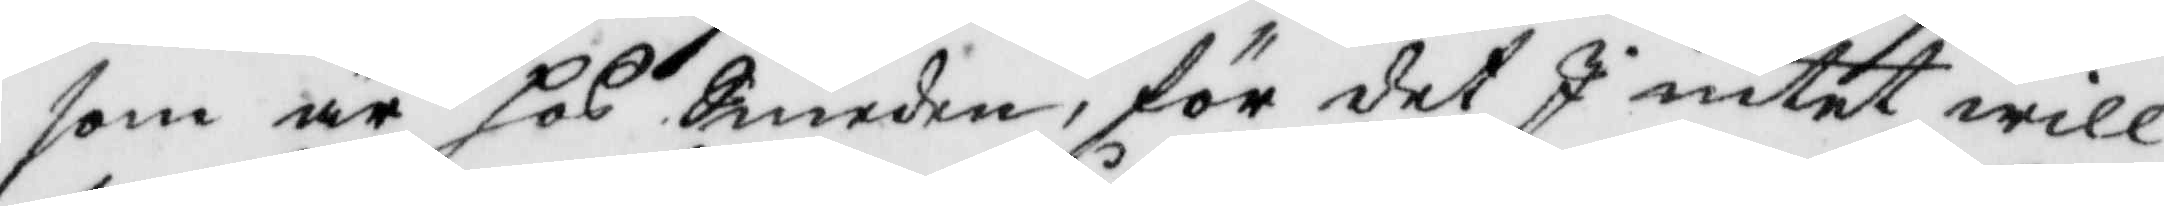som är hos Smeden, för det J intet will
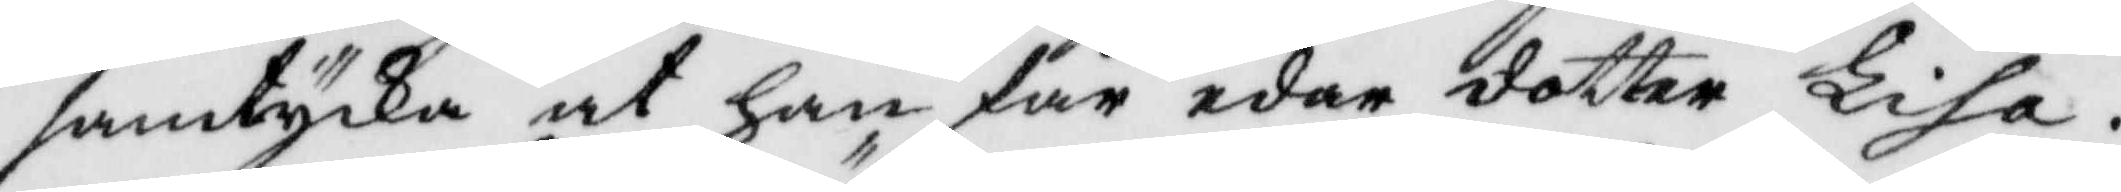samtycka at han får eder dotter Lisa.
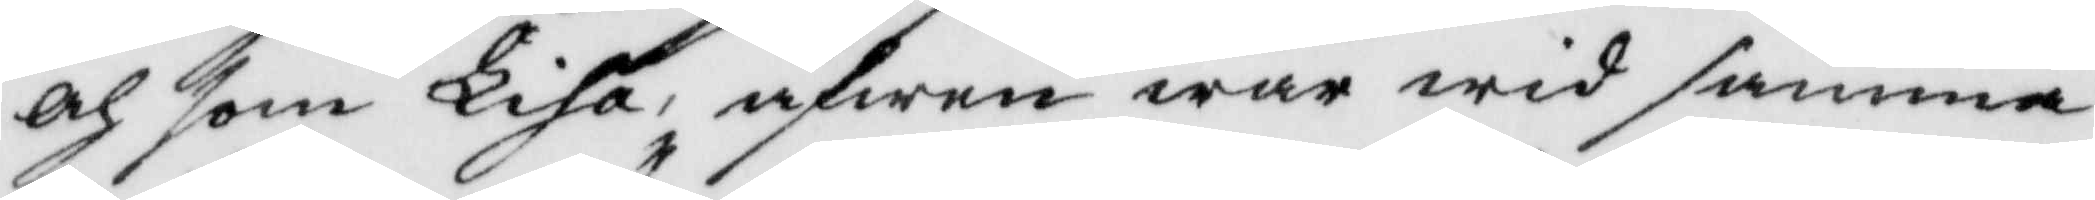och som Lisa, äfwen war wid samma
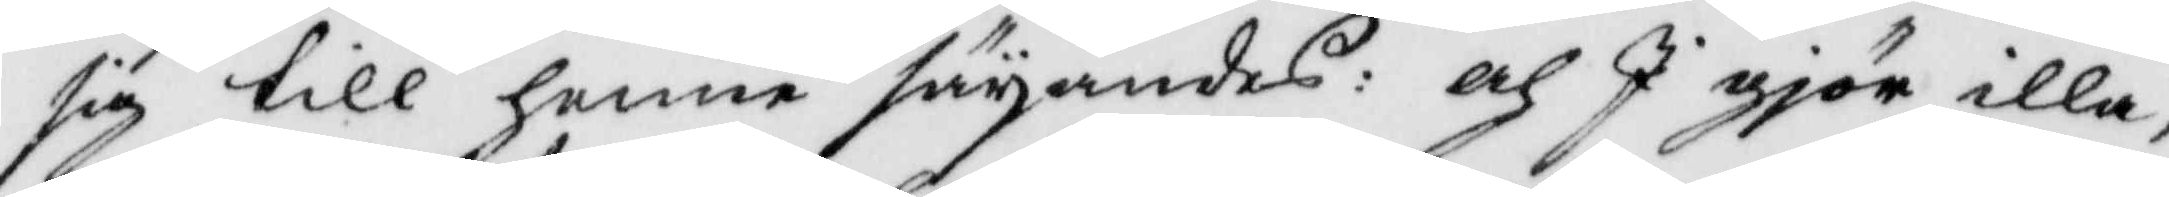sig till henne säyandes: och I gjör illa,
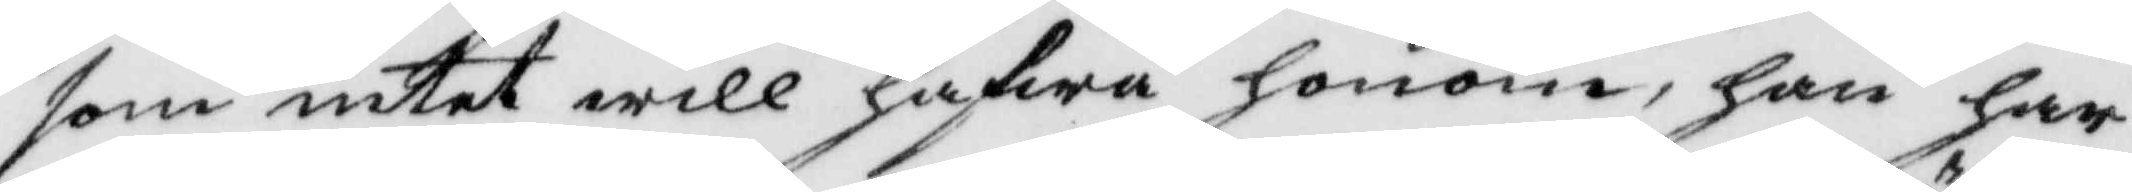som intet will hafwa honom, han har
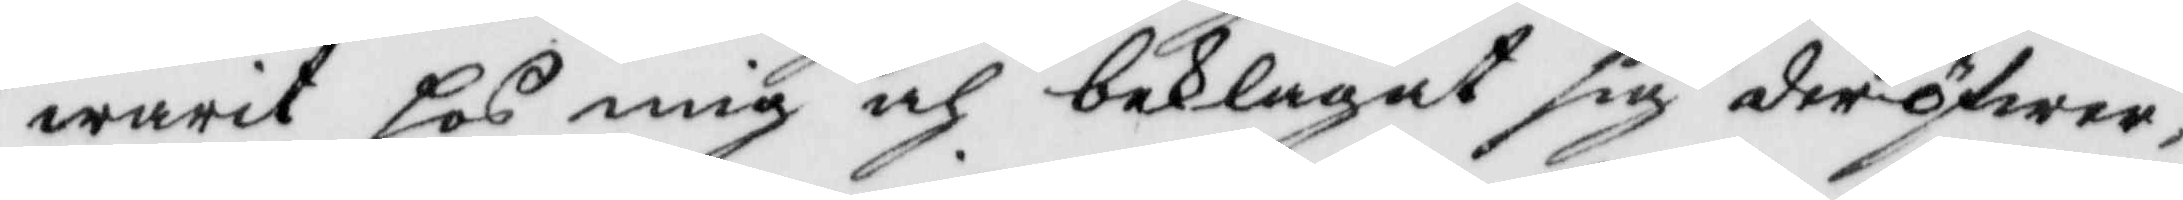warit hos mig och beklagat sig deröfwer,
